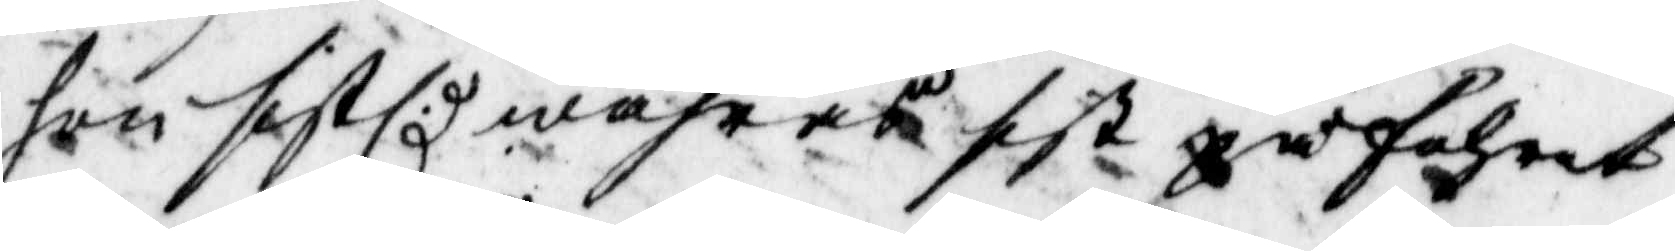hon sistl: wåhras sist påfahret
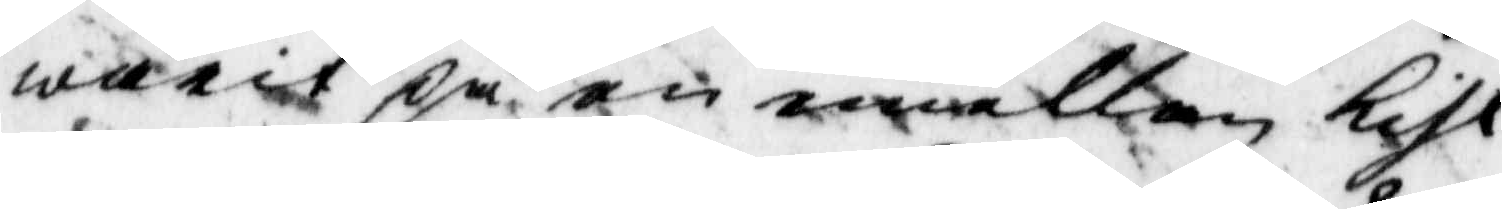warit på en mellan Kihl
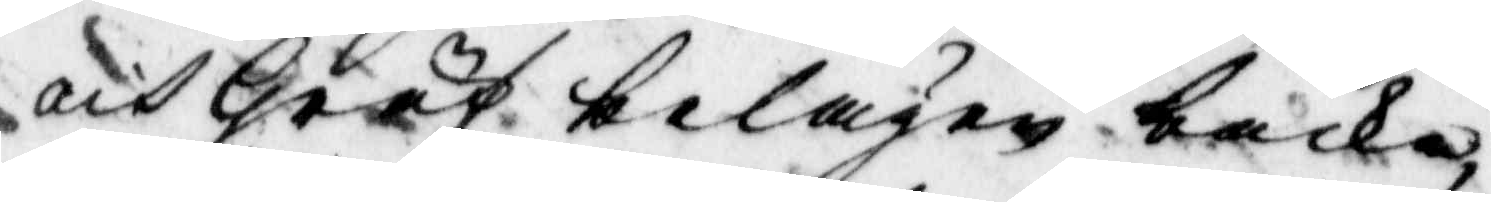och Gräf belägen backe.
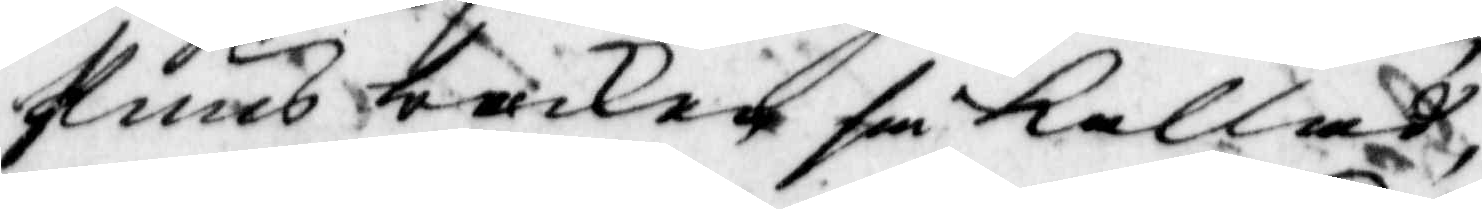Puns backe som kallad,
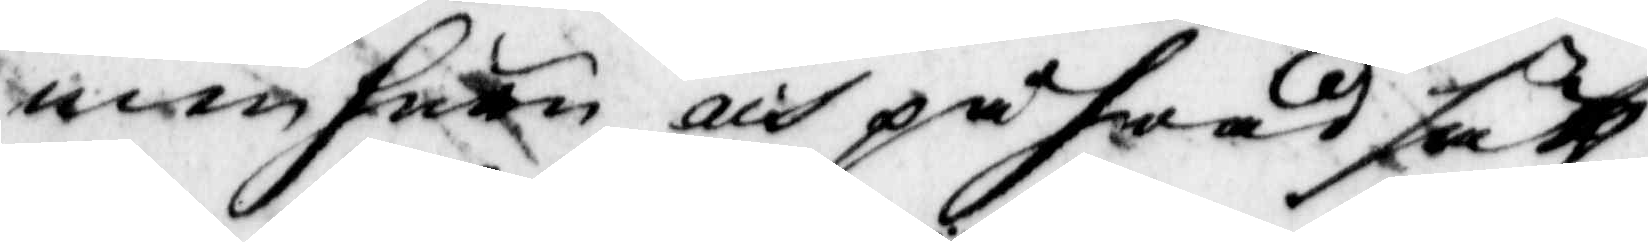men huru och på hwad sätt
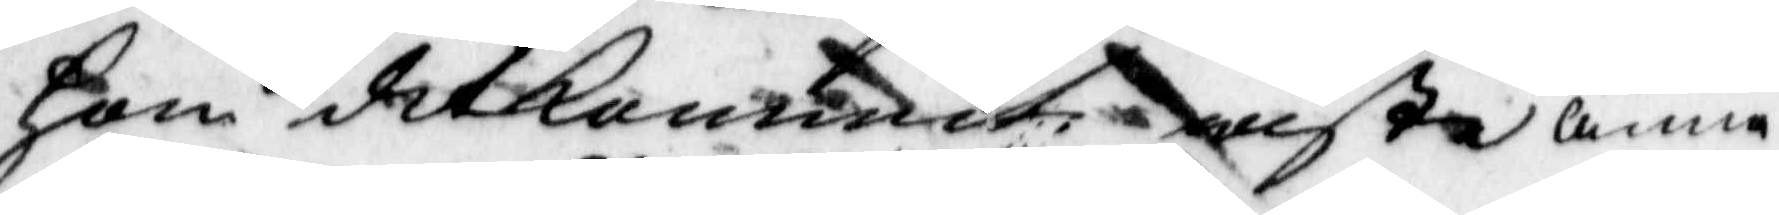hon ditkommet wiste anna
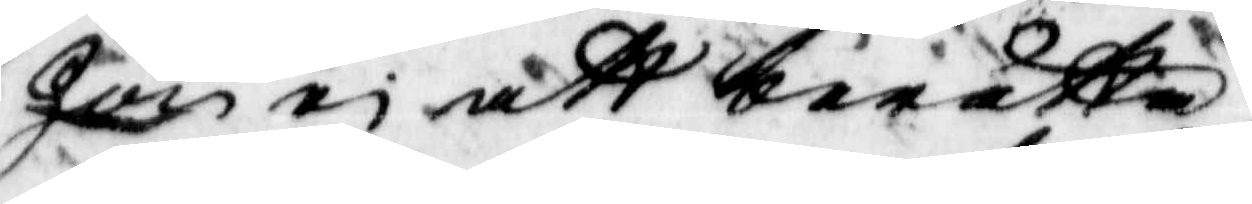hon ei att berätta.
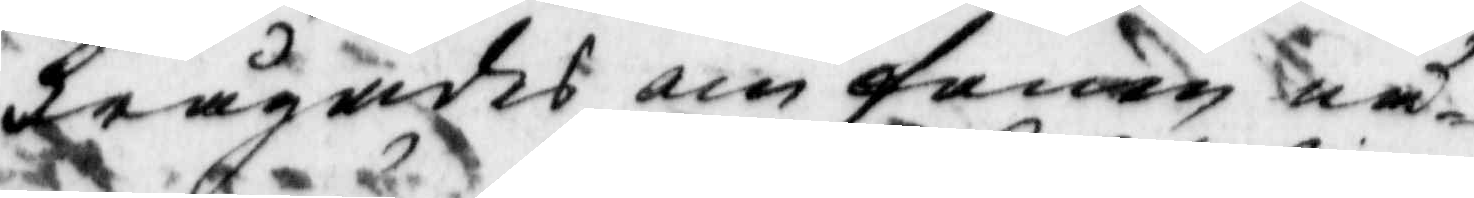frågades om fanen nå¬
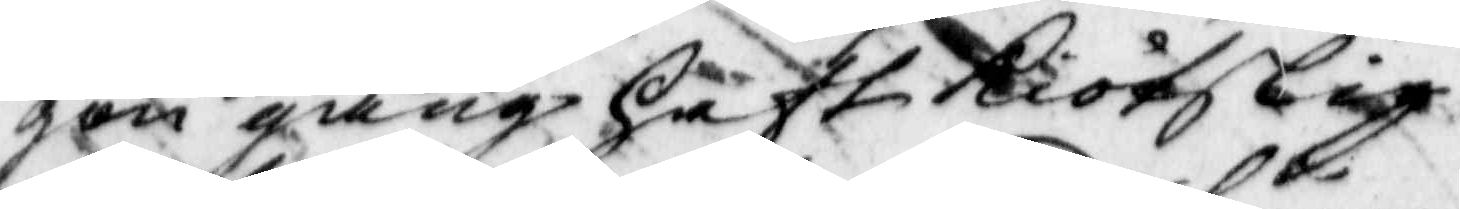gon gång haft kiötslig
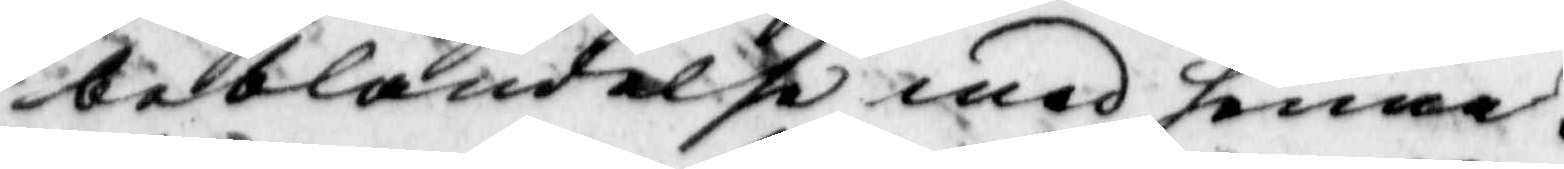beblandelse med henne.
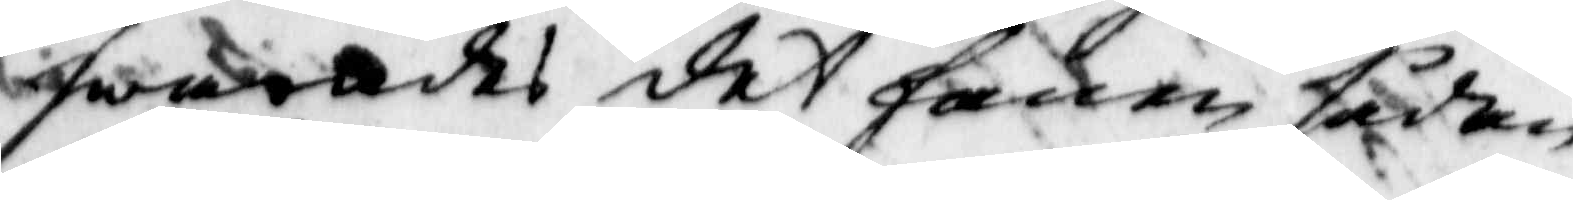swarades det fanen sådan
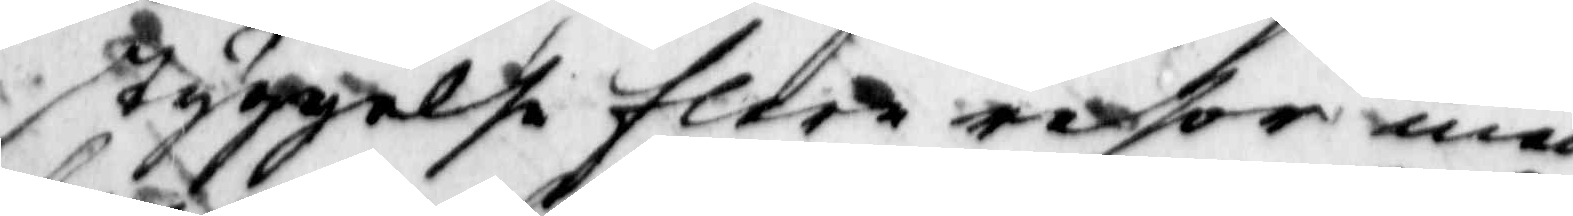styggelse flera resor med
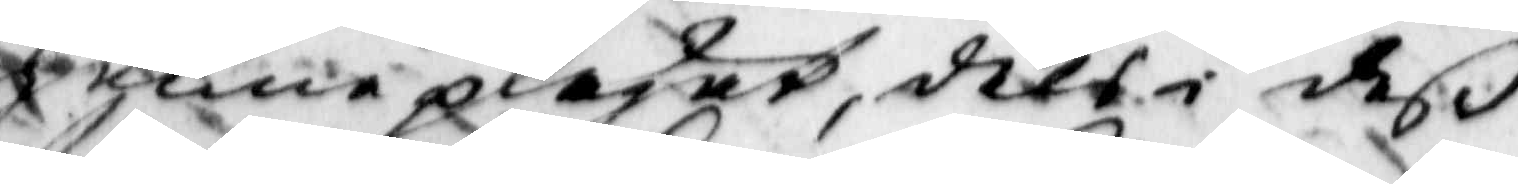henne plägat, dels i deß
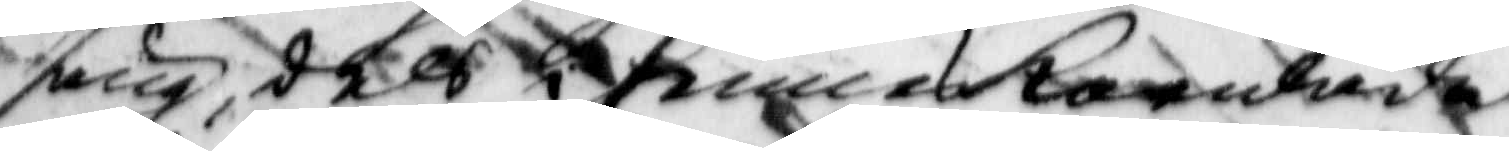säng, dels i hennes kornlada
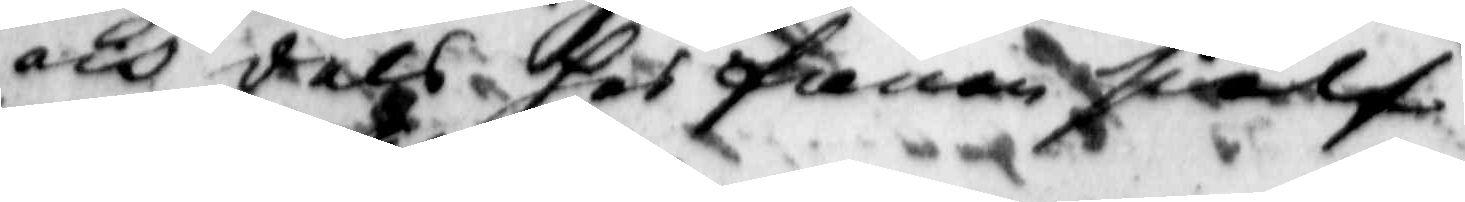och dels hos fanen sielf
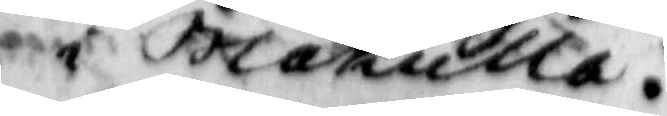i Blåkulla.
